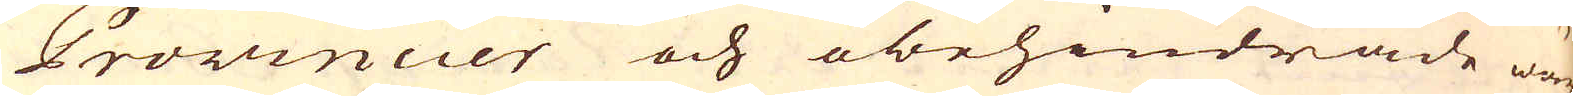Provincier och obehindrade wärk-
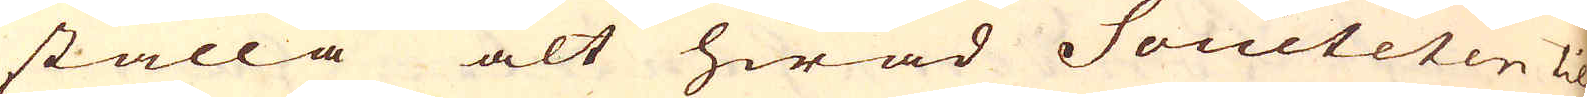ställa alt hwad Societeten til
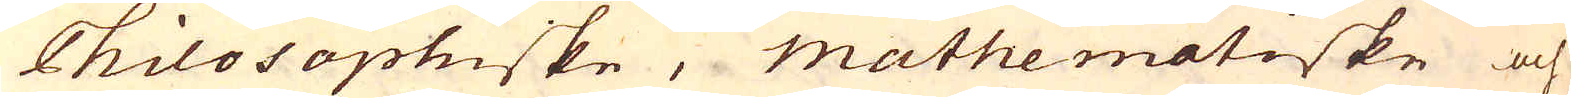Philosophiske, Mathematiske och
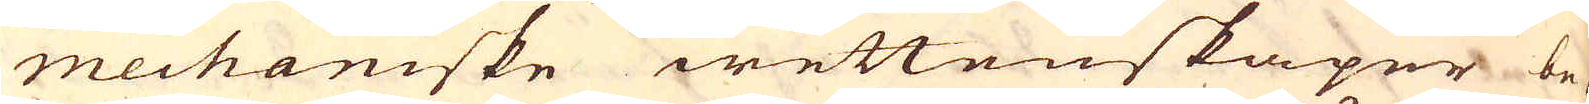mechaniske wettenskaper be-
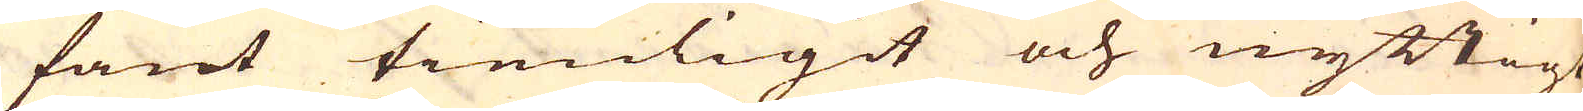fant tienligit och nyttigt,
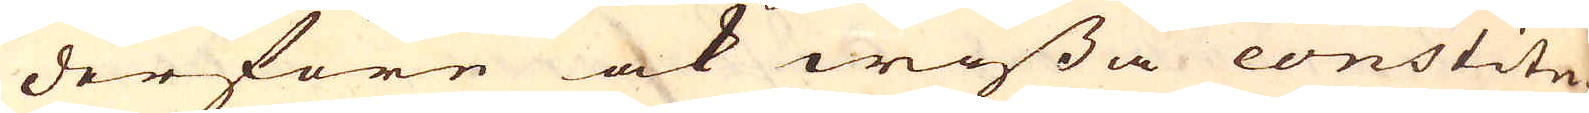derföre ock wissa constitu-
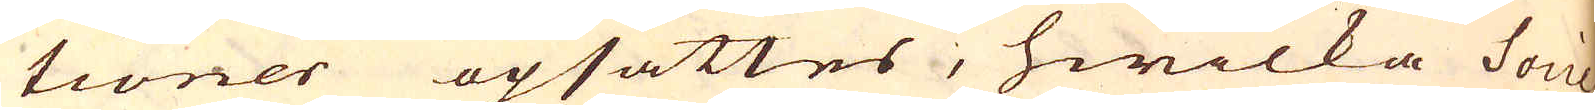tioner opsattes, hwilka Socie-
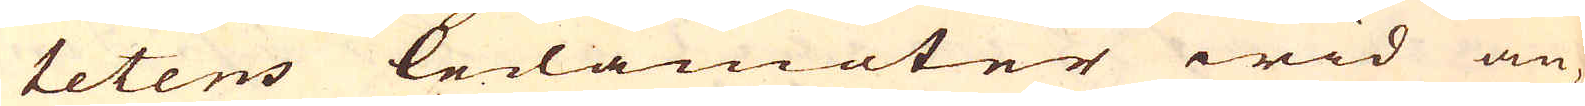tetens ledamöter wid an-
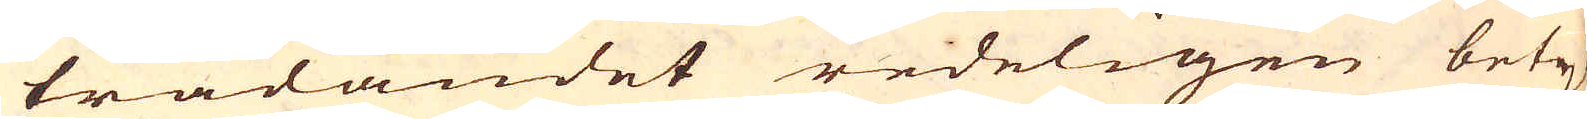trädandet redeligen bety-
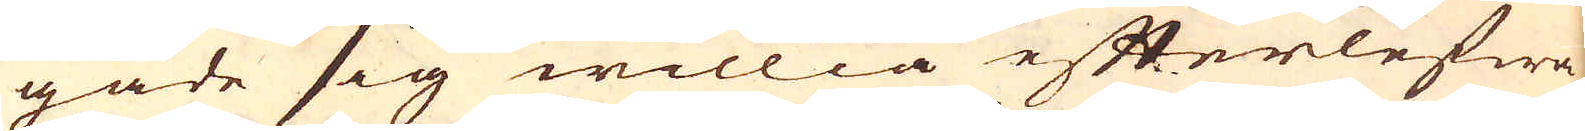gade sig willia efterlefwa,
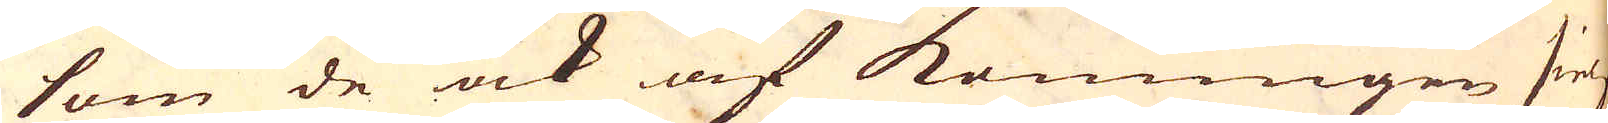som de ock af Konungen sielf
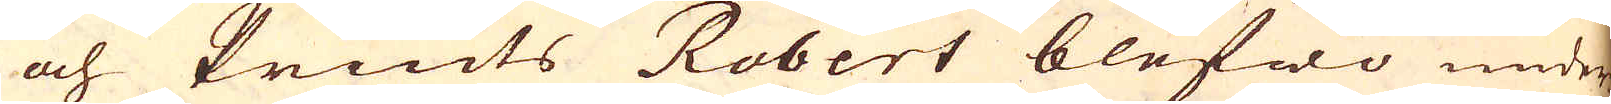och Prints Robert blefwo under-
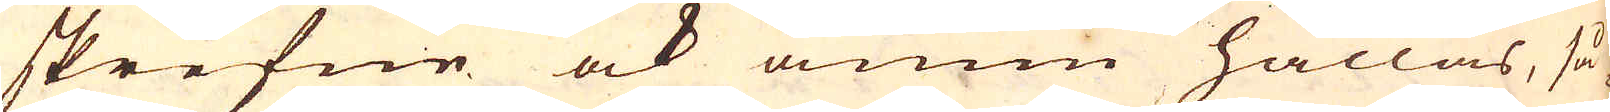skrefne ock ännu hållas, så
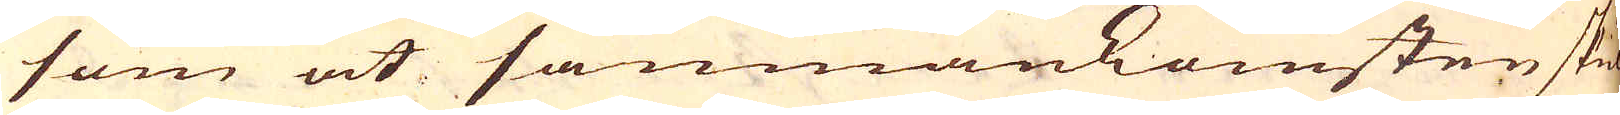som at samnankomsten skul-
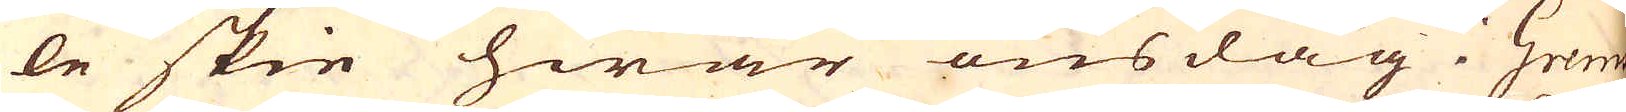le skie hwar onsdag i Gres-
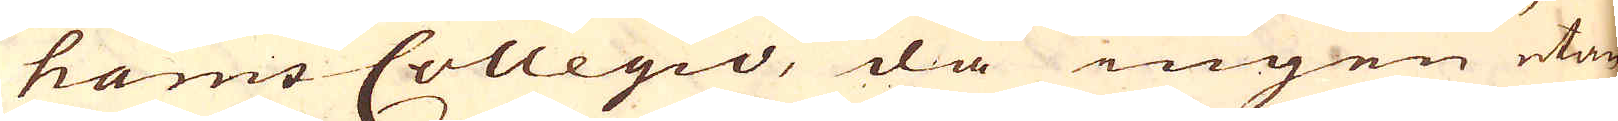hams Collegio, då ingen utan
